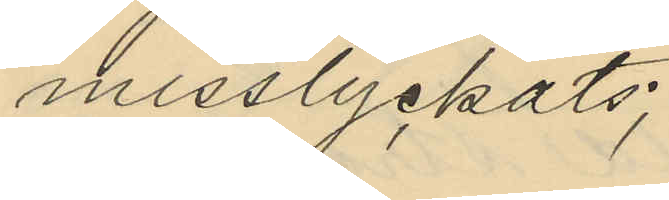misslyckats;
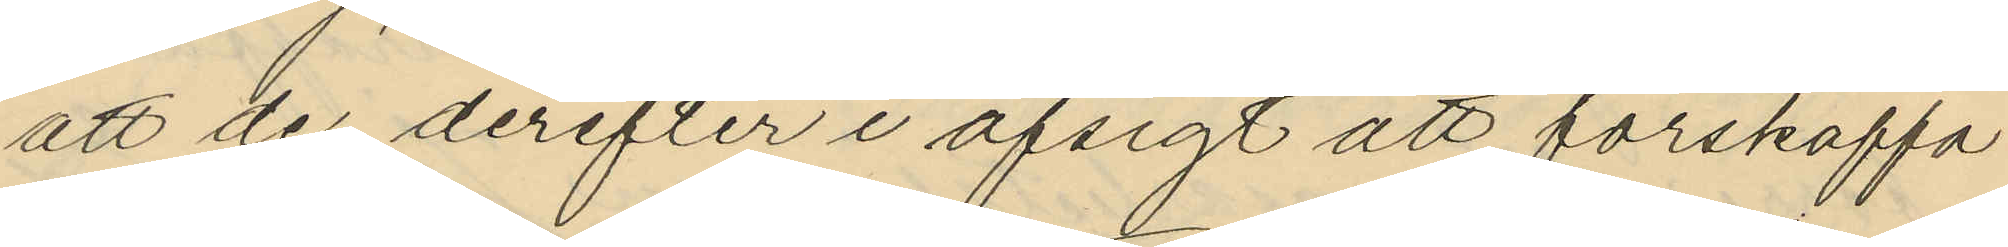att de derefter i afsigt att förskaffa
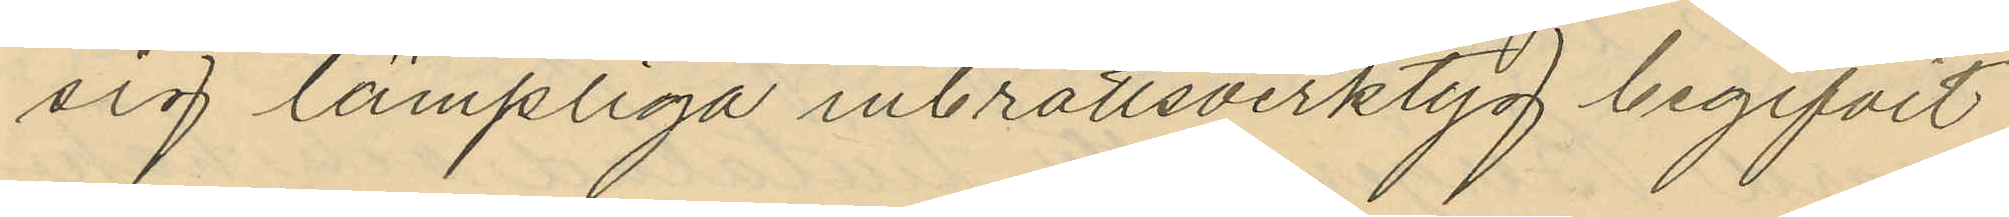sig lämpliga inbrottsverktyg begifvit
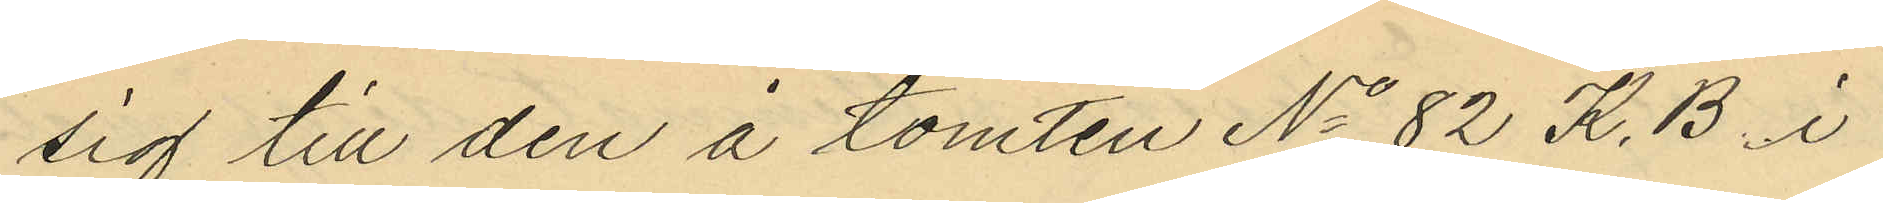sig till den å tomten No 82 K. B i
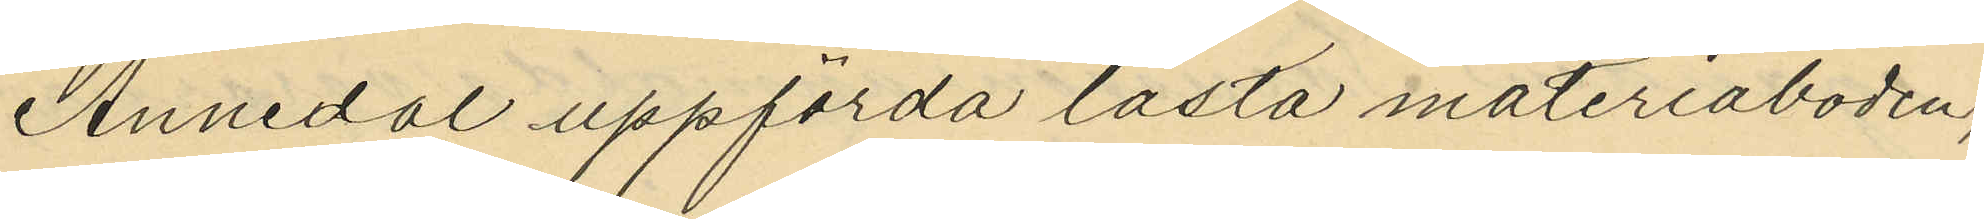Annedal uppförda låsta materiaboden,
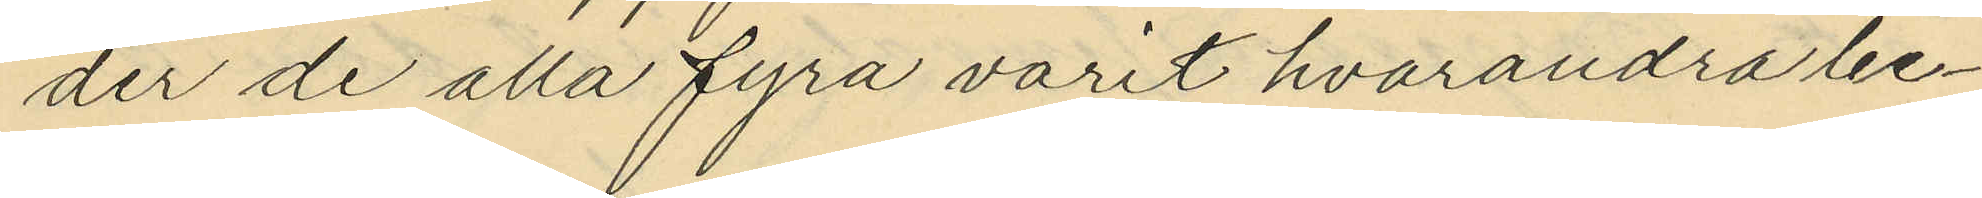der de alla fyra varit hvarandra be¬
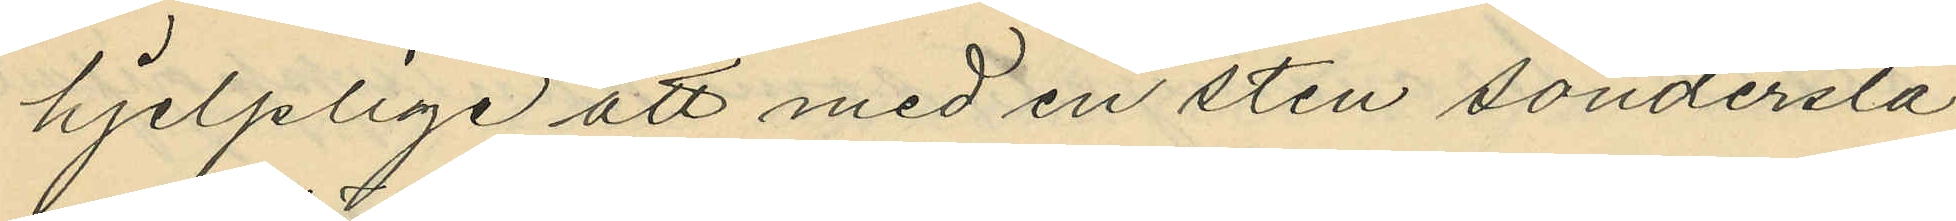hjelplige att med en sten sönderslå
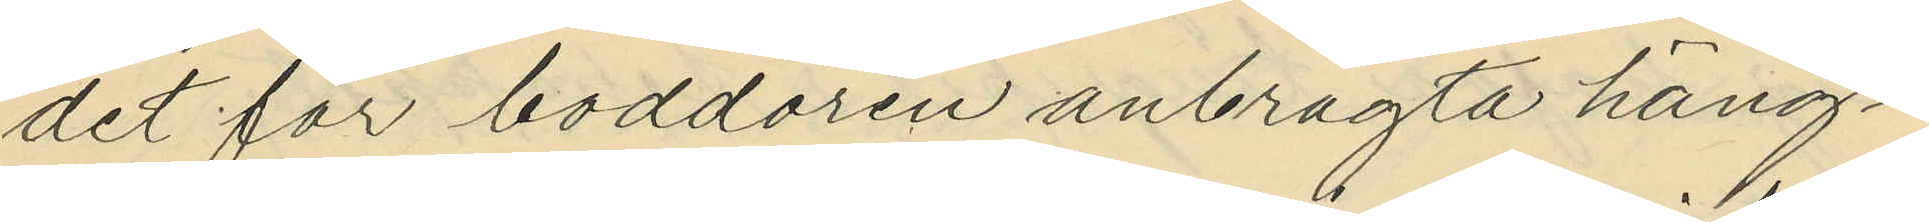det för boddören anbragta häng¬
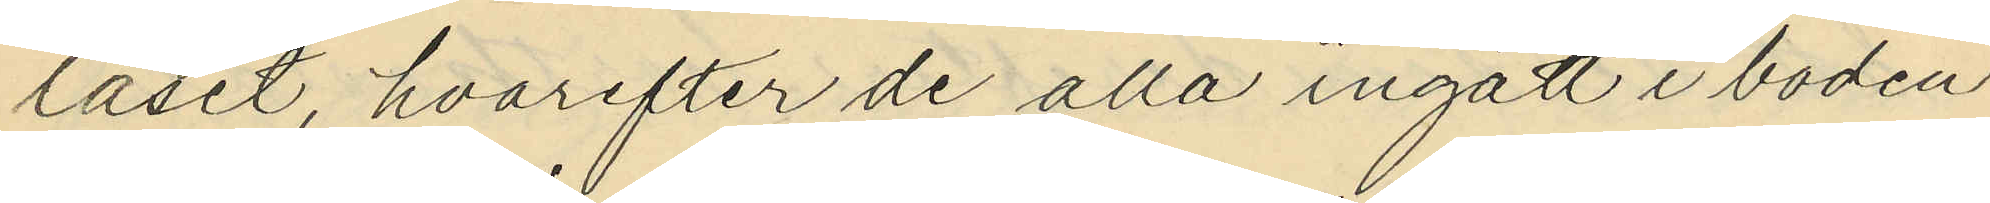låset, hvarefter de alla ingått i boden
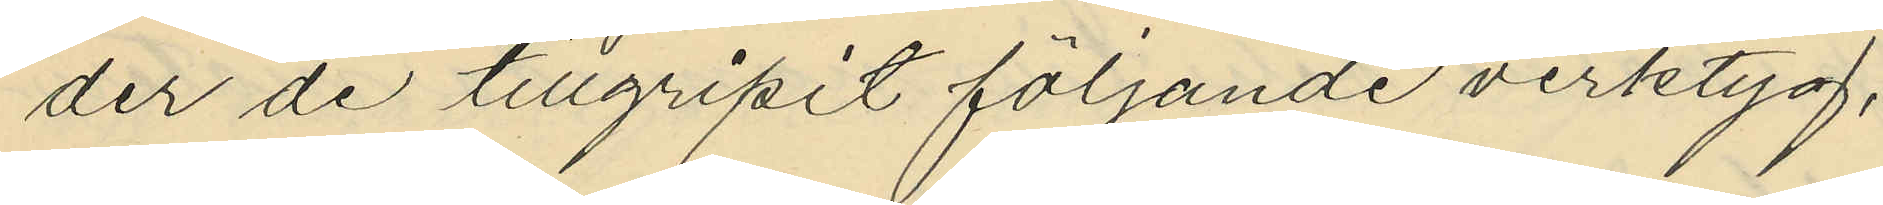der de tillgripit följande verktyg,
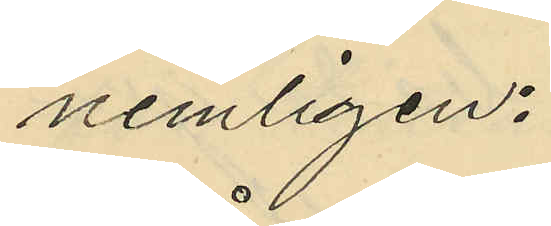nemligen:
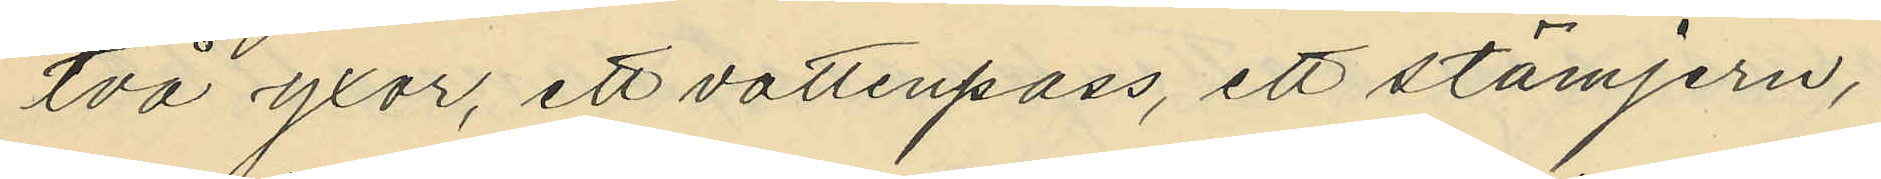två yxor, ett vattenpass, ett stämjern,
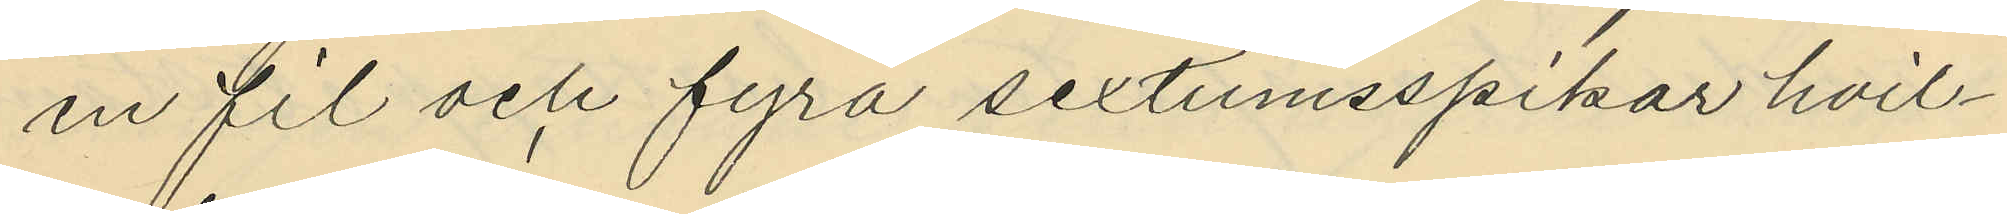en fil och fyra sextumsspikar hvil¬
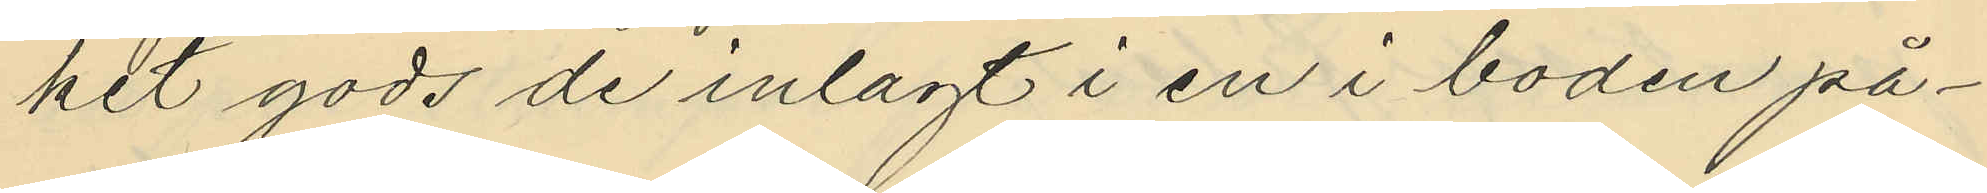hit gods de inlagt i en i boden på¬
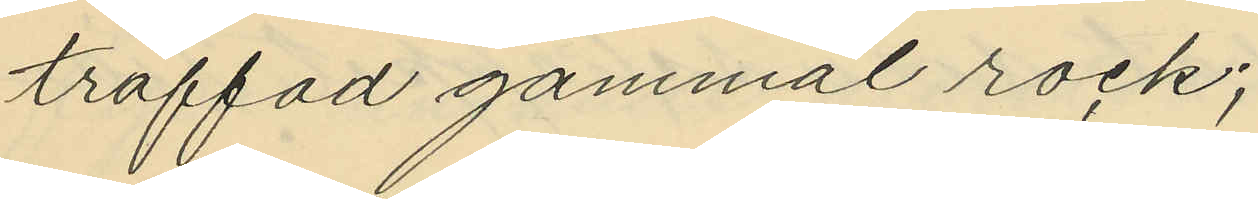träffad gammal rock;
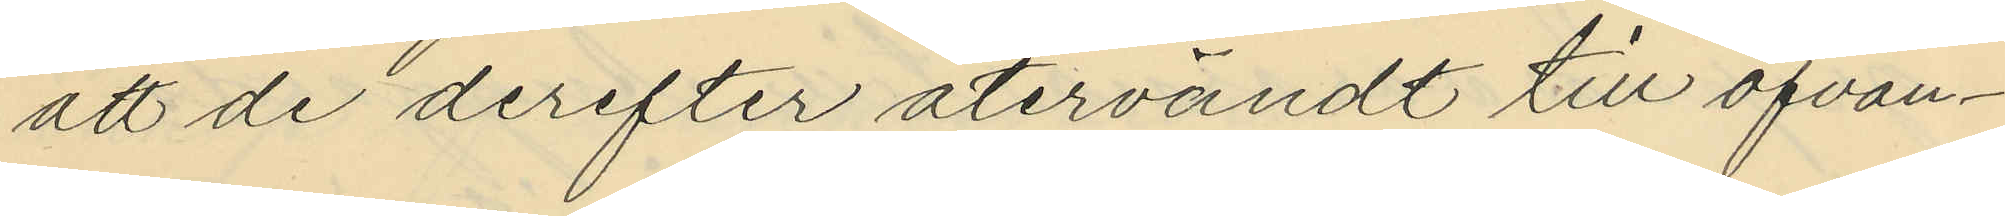att de derefter återvändt till ofvan¬
